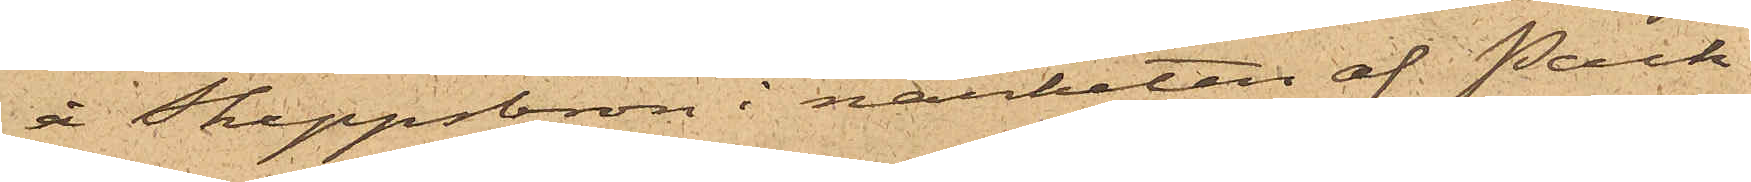å Skeppsbron i närheten af Pack¬
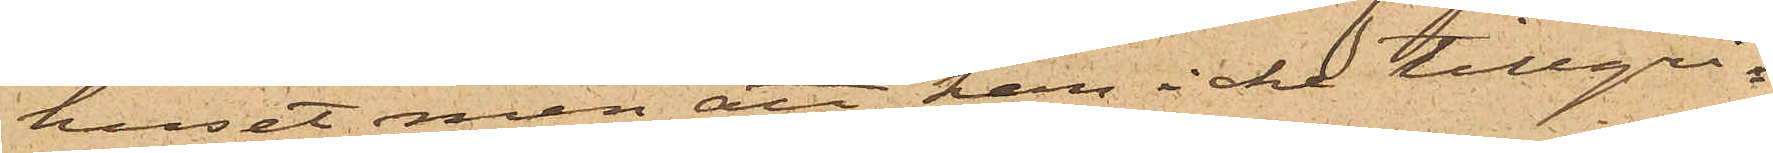huset men att han icke tillgri¬
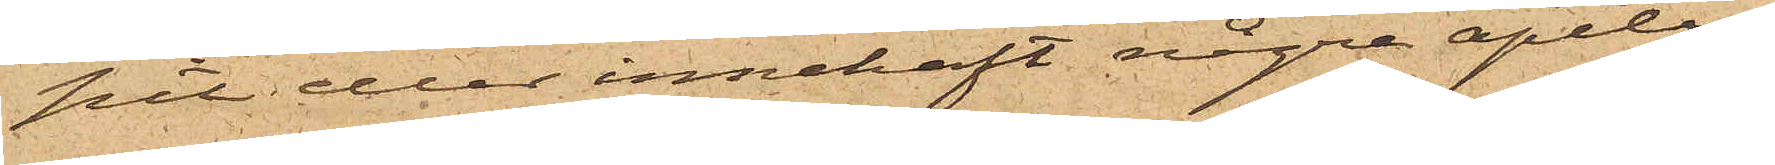pit eller innehaft några apelsi¬
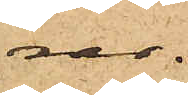ner.
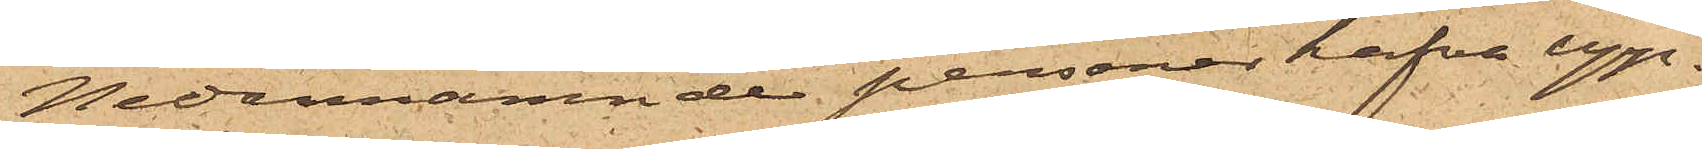Nedannämnde personer hafva upp¬
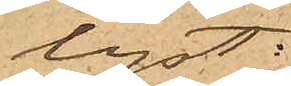lyst:
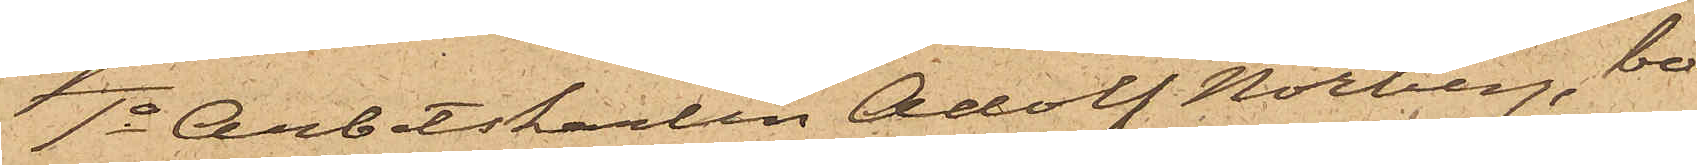1o Arbetskarlen Adolf Norberg, bo¬
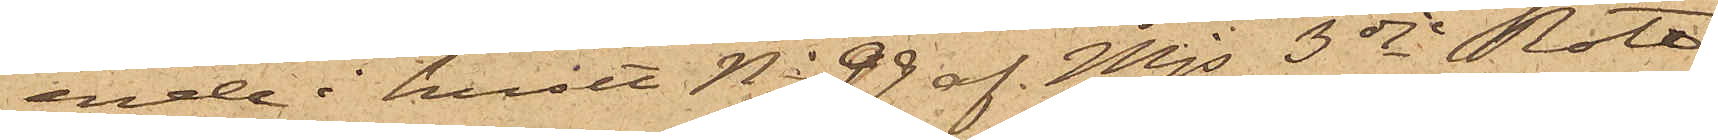ende i huset No 99 af Mjs 3dje Rote,
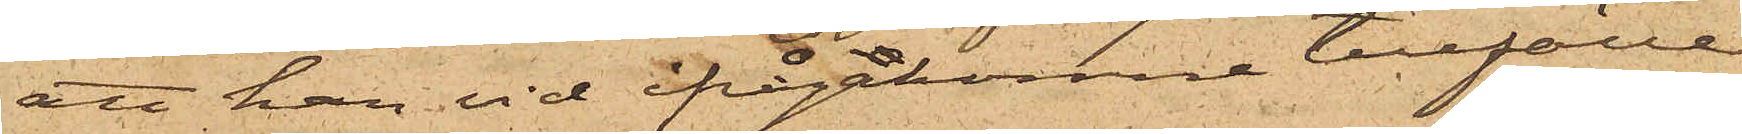att han vid ifrågakomne tillfälle
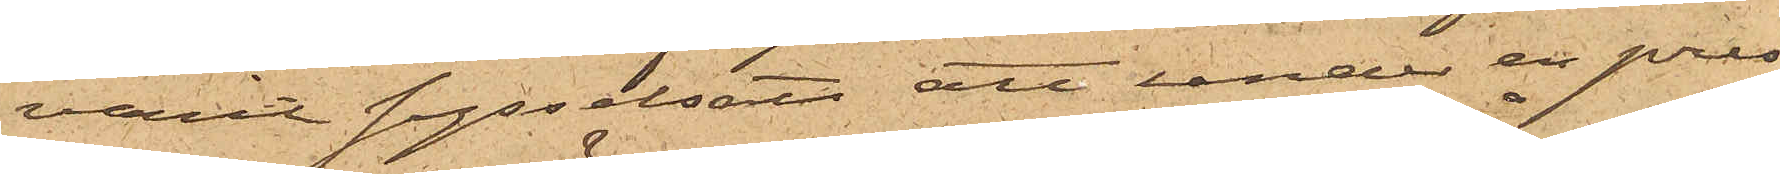varit sysselsatt att under en pres¬
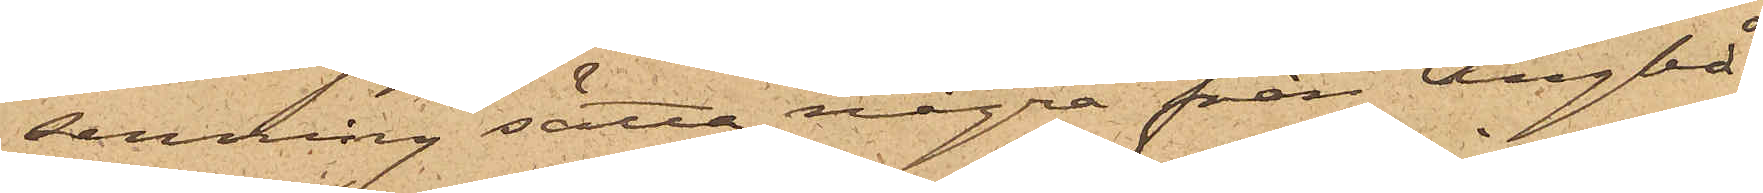senning sätta några från Ångbå¬
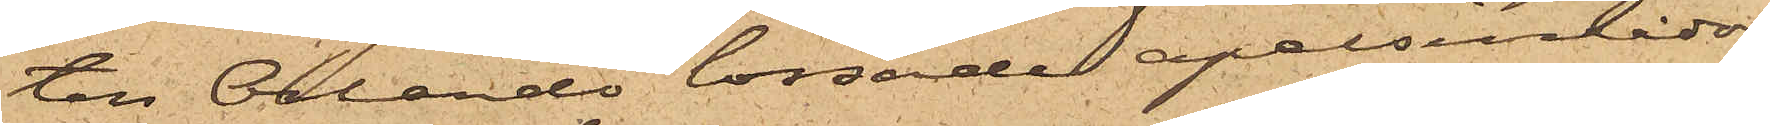ten Orlando lossade apelsinlådor,
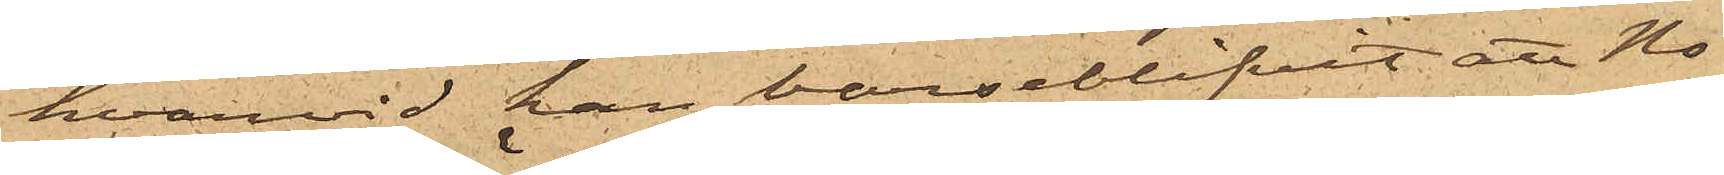hvarvid han varseblifvit att No¬
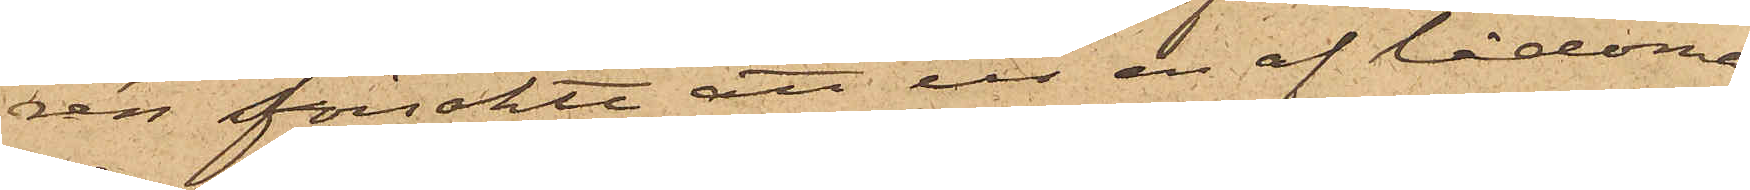rén försökte att ur en af lådorna
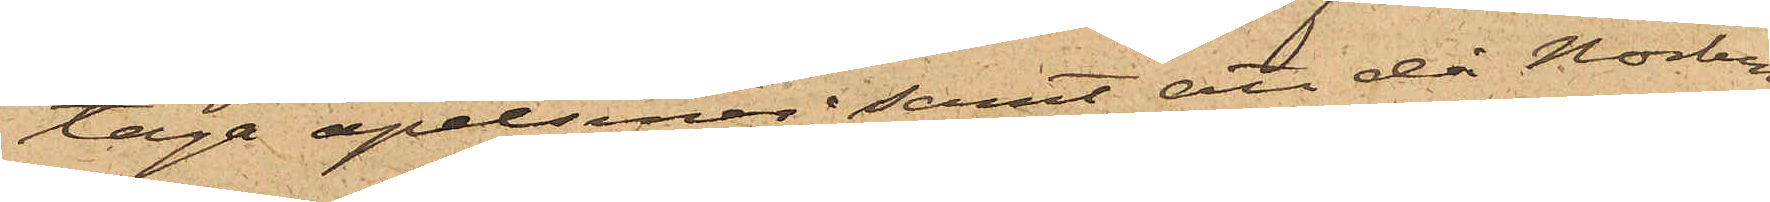taga apelsiner; samt att då Norberg
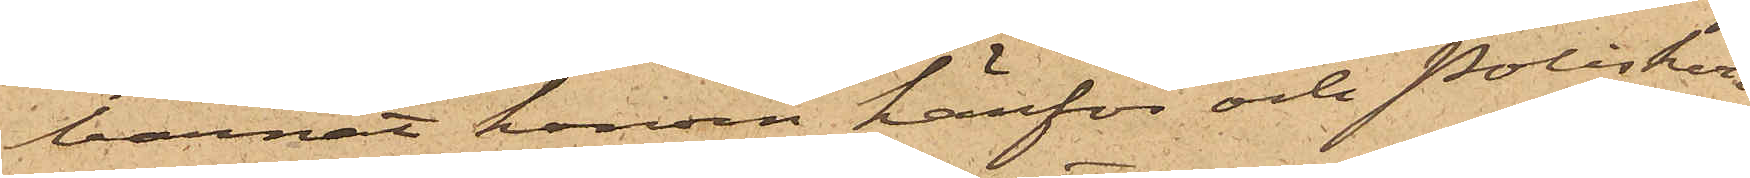bannat honom härför och Poliskon¬
